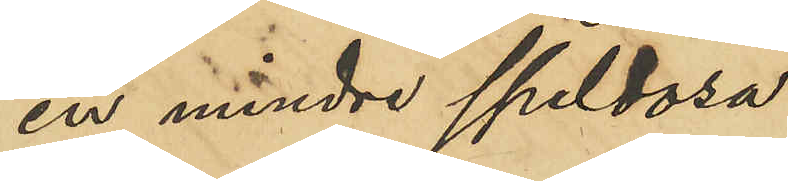en mindre speldosa
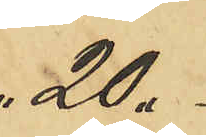20.
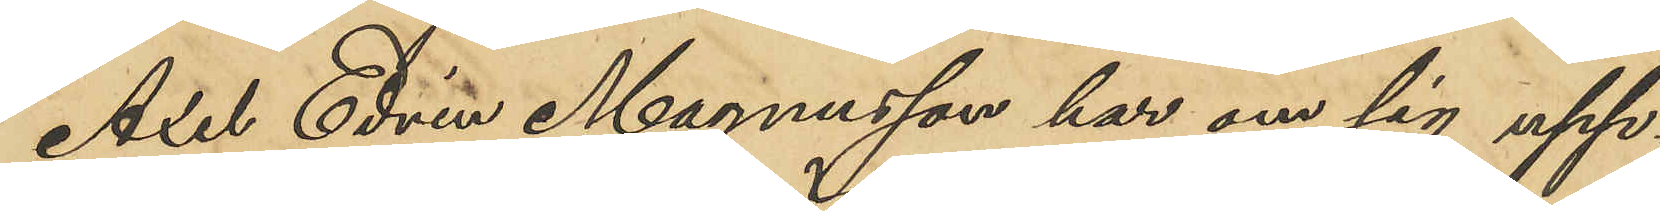Axel Edvin Magnusson har om sig upp¬
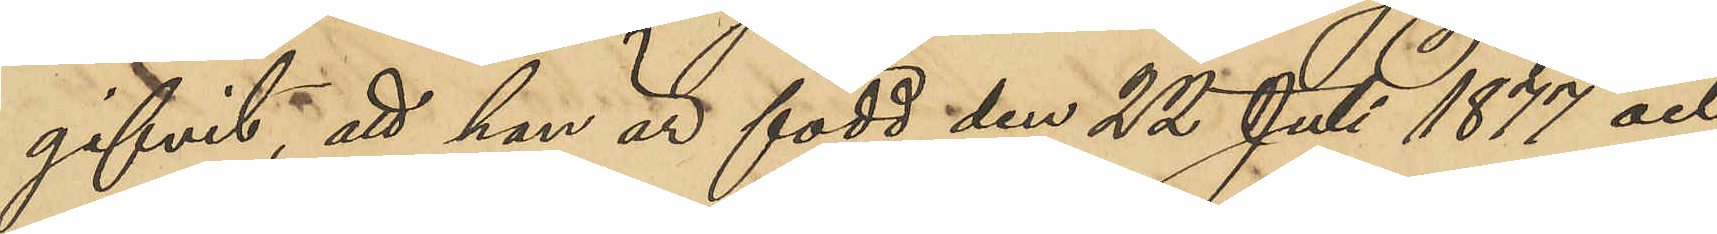gifvit, att han är född den 22 Juli 1877 och
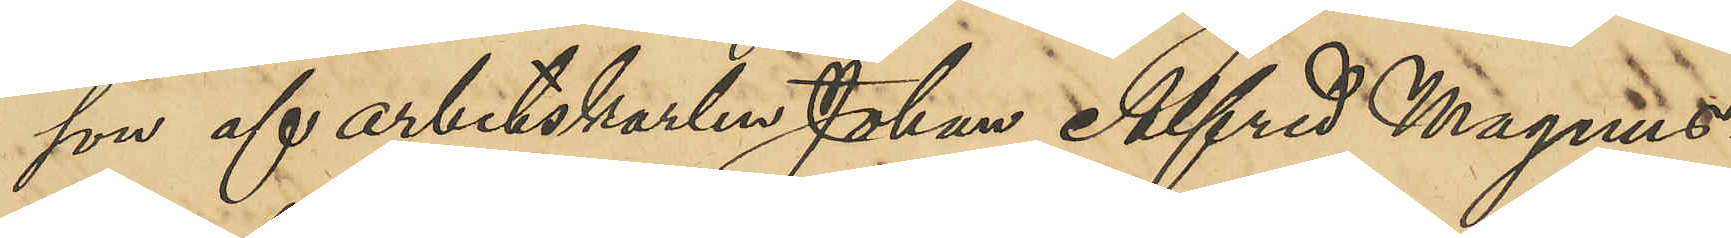son af arbetskarlen Johan Alfred Magnus¬
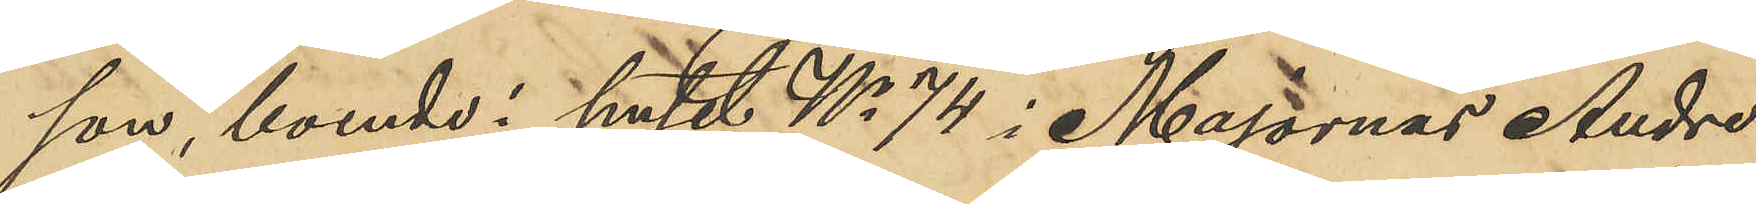son, boende i huset No 74 i Majornas Andre
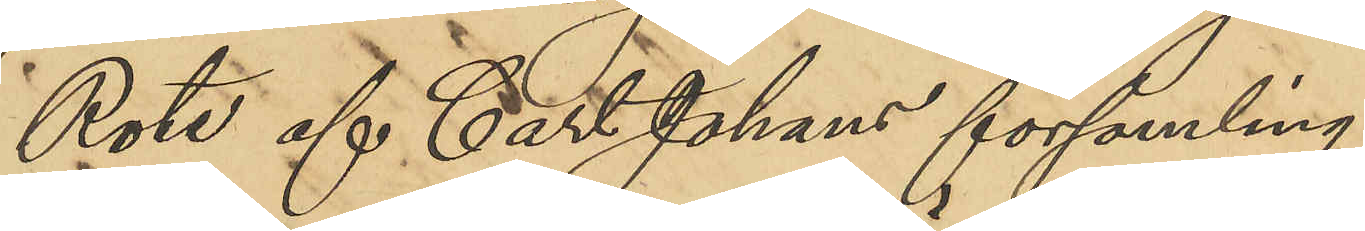Rote af Carl Johans församling.
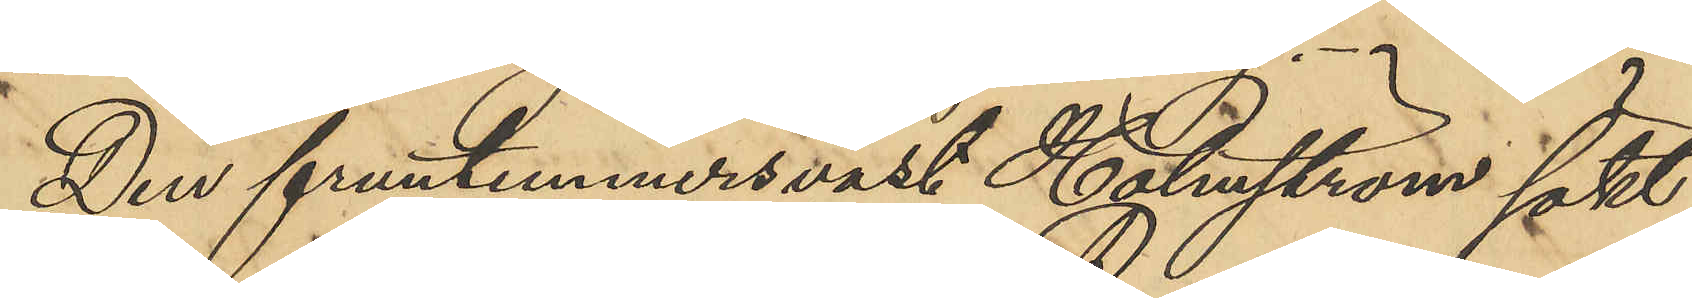Den fruntimmersväst Holmström sökt 
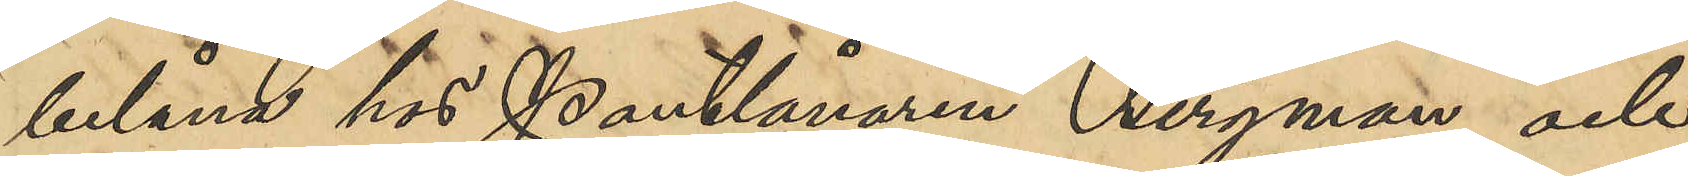belåna hos Pantlånaren Bergman och
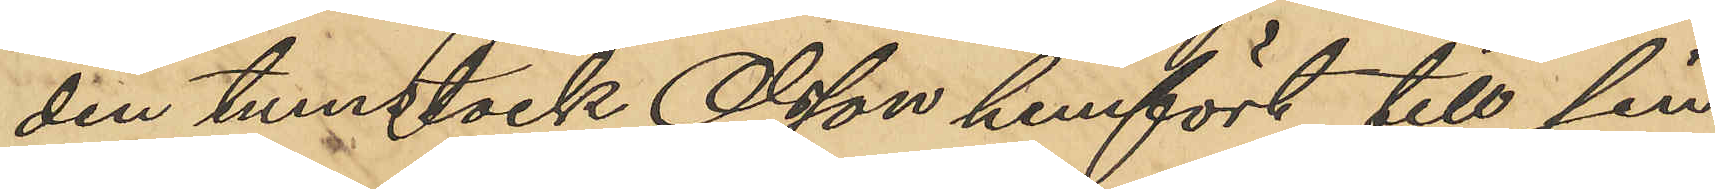den tumstock Olsson hemfört till sin
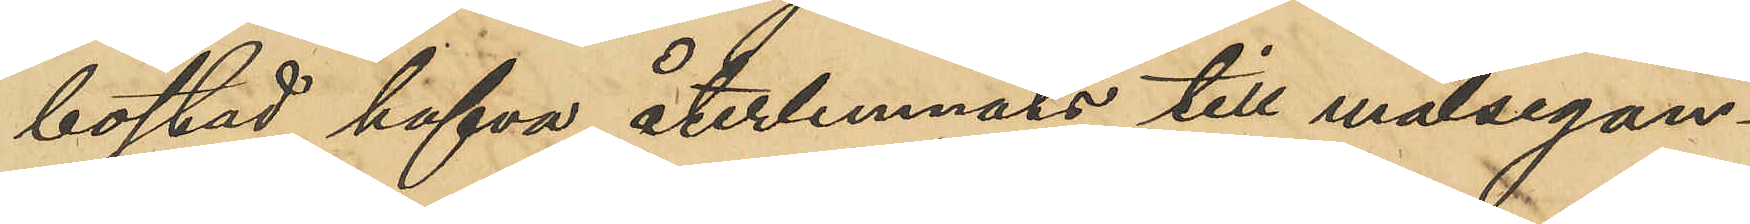bostad hafva återlemnats till målsegan¬
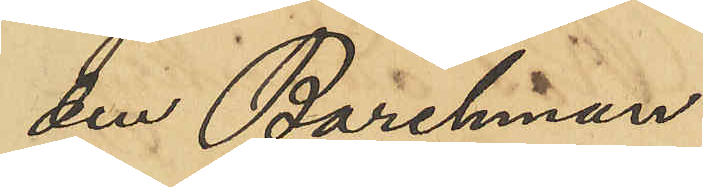den Barchman.
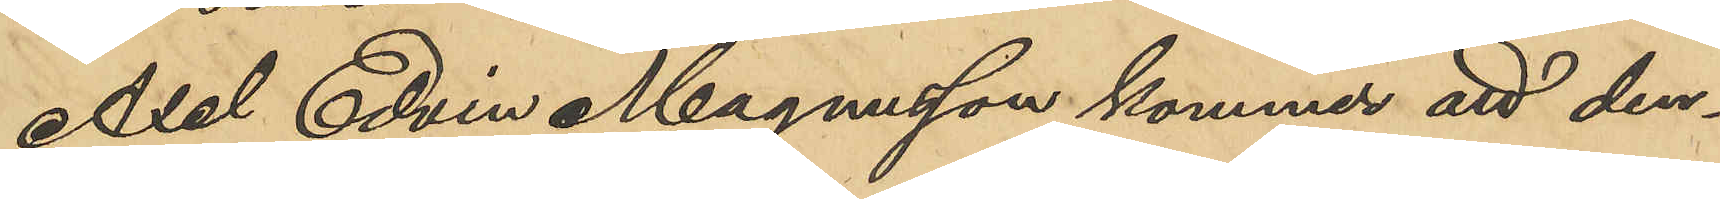Axel Edvin Magnusson kommer att den¬
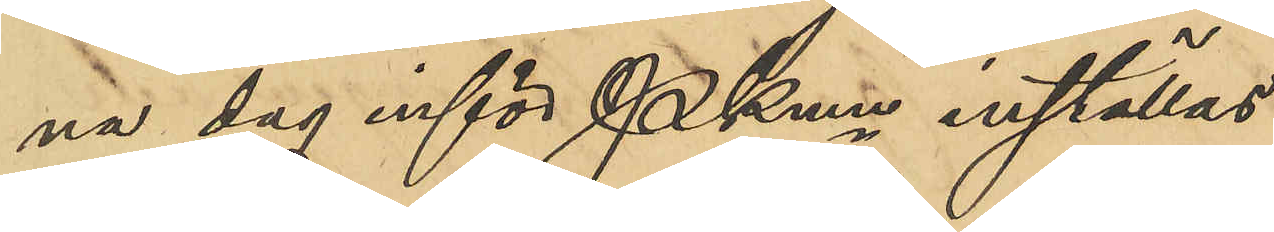na dag inför PKmn inställas.
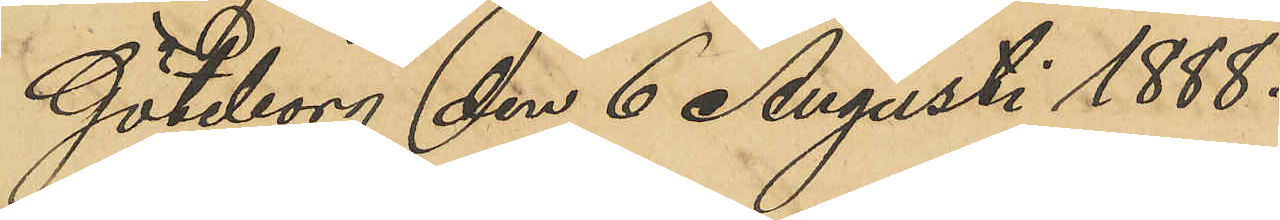Göteborg den 6 Augusti 1888.
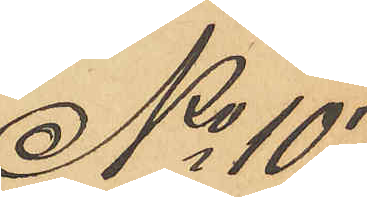No 107
